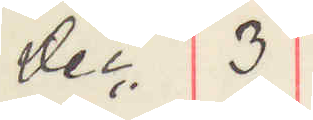Dec. 3
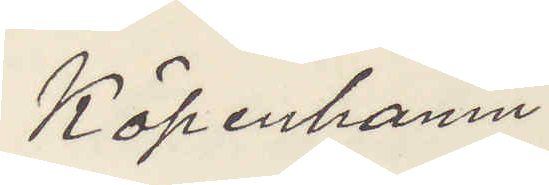Köpenhamn.
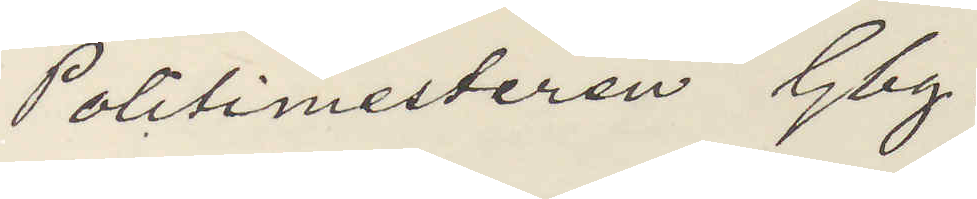Politimesteren Gbg.
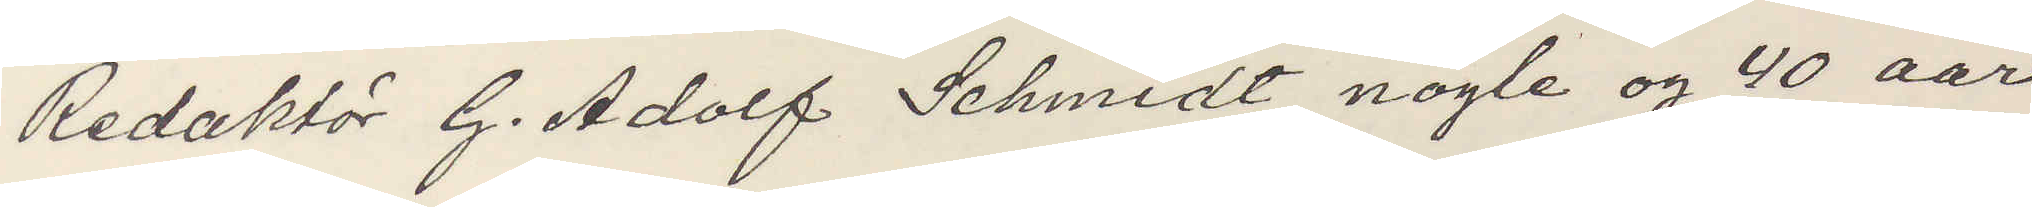Redaktör G Adolf Schmidt nogte og 40 aar
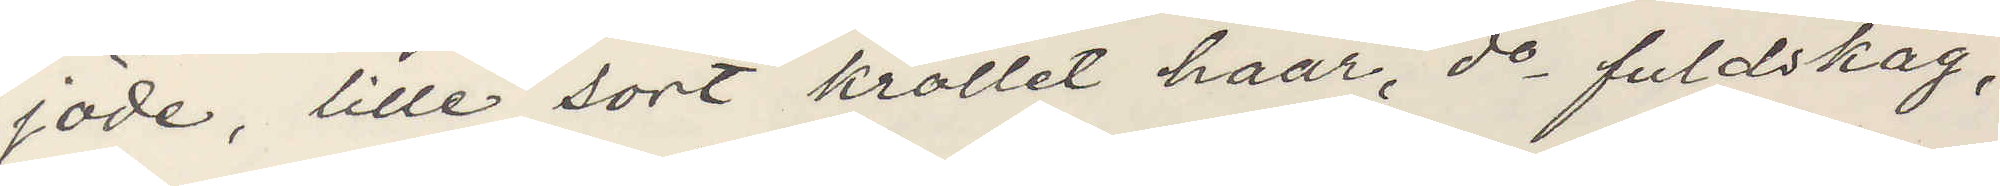jöde, lille sort kröllet haar, do fuldskäg,
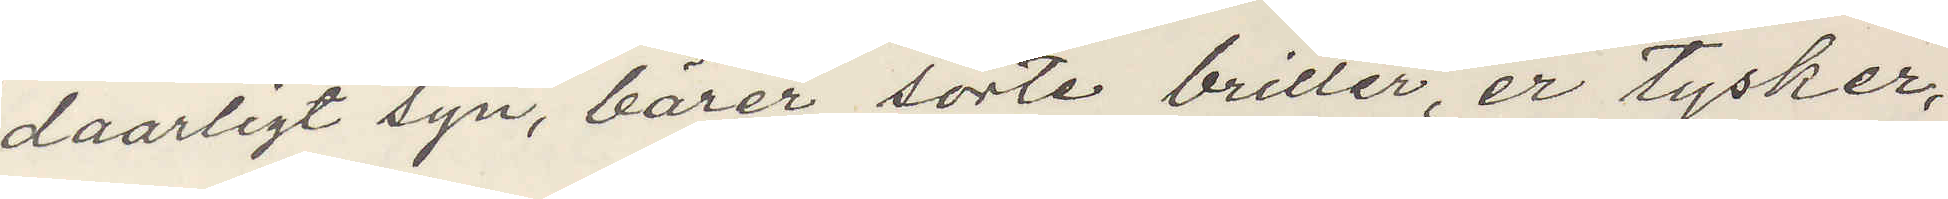daarligt syn, bärer sorte briller, er tysker,
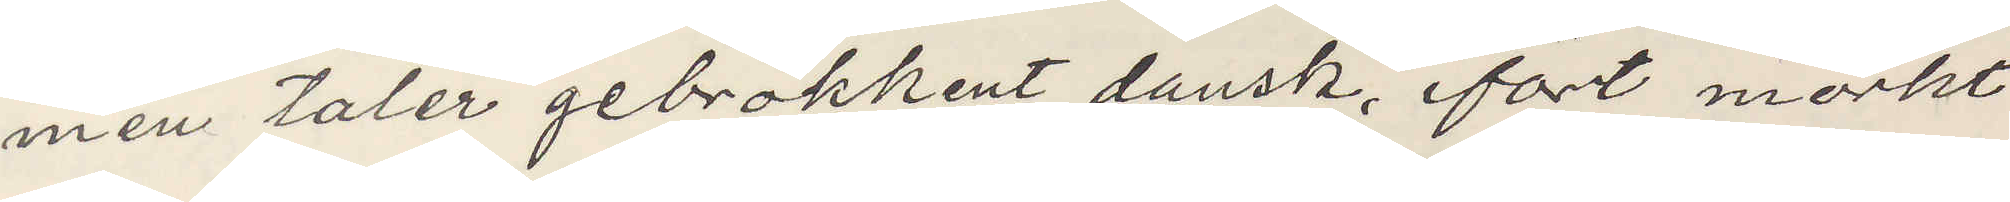men taler gebrokhent dansk, ifört mörkt
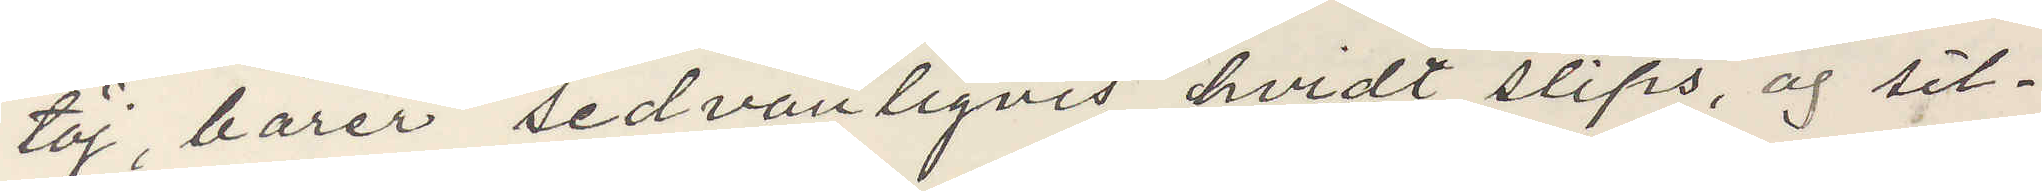töj, bärer sedvanligvis hvidt slips, og sil¬
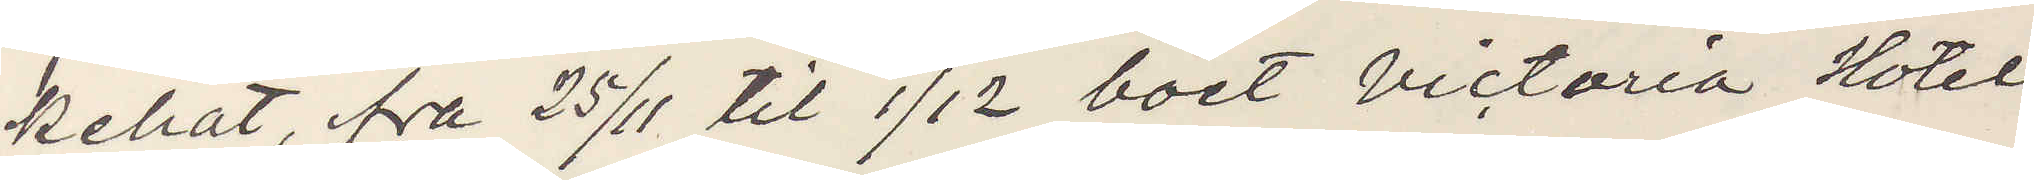kehat, fra 25/11 til 1/12 boet Victoria Hotel
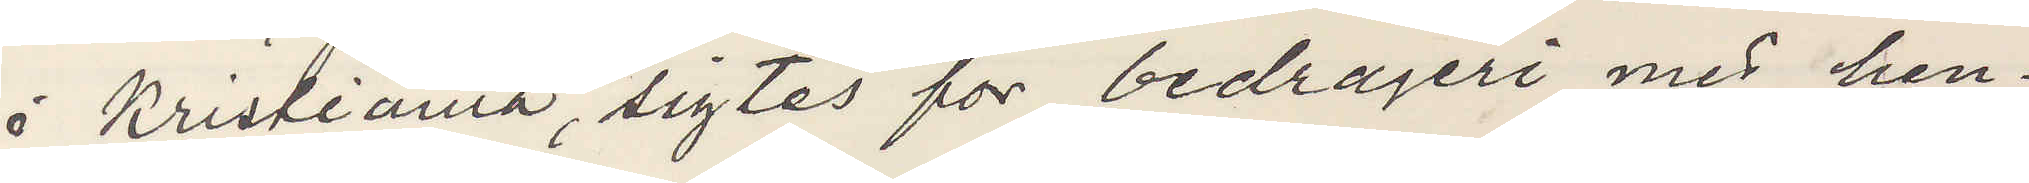i Kristiania, sigtes for bedrageri med hen¬
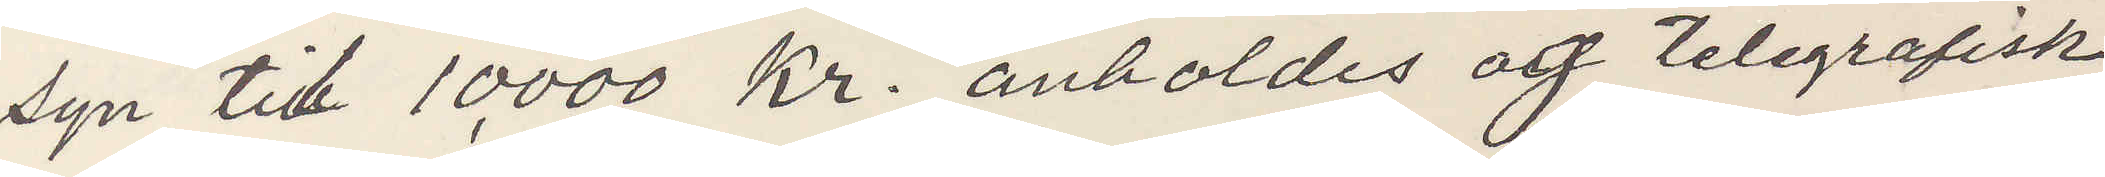syn til 10,000 Kr. anholdes og telegrafisk
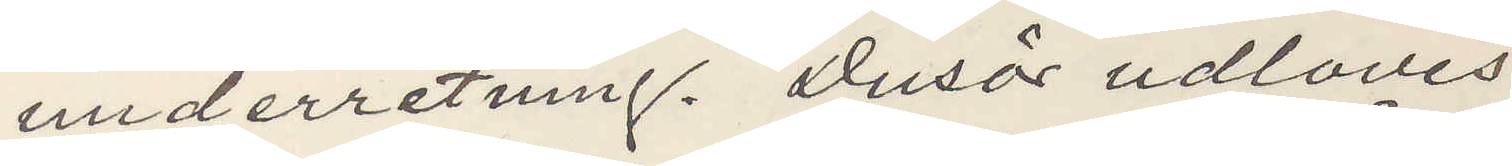underretning. Dusör udlaves
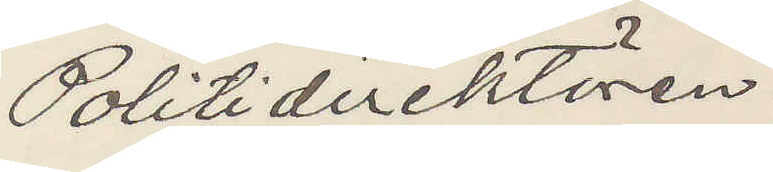Politidirektören.
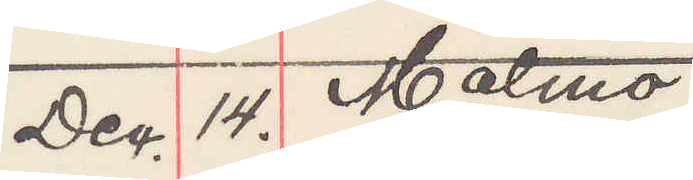Dec. 14. Malmö
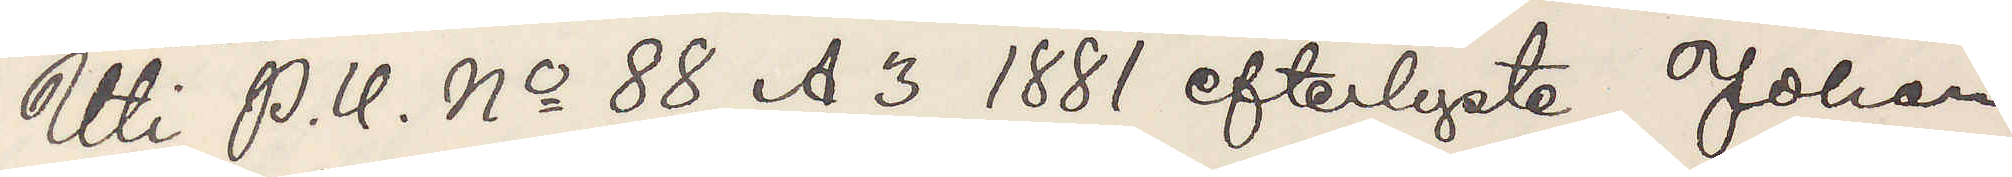Uti P. U. No 88 A3 efterlyste Johan
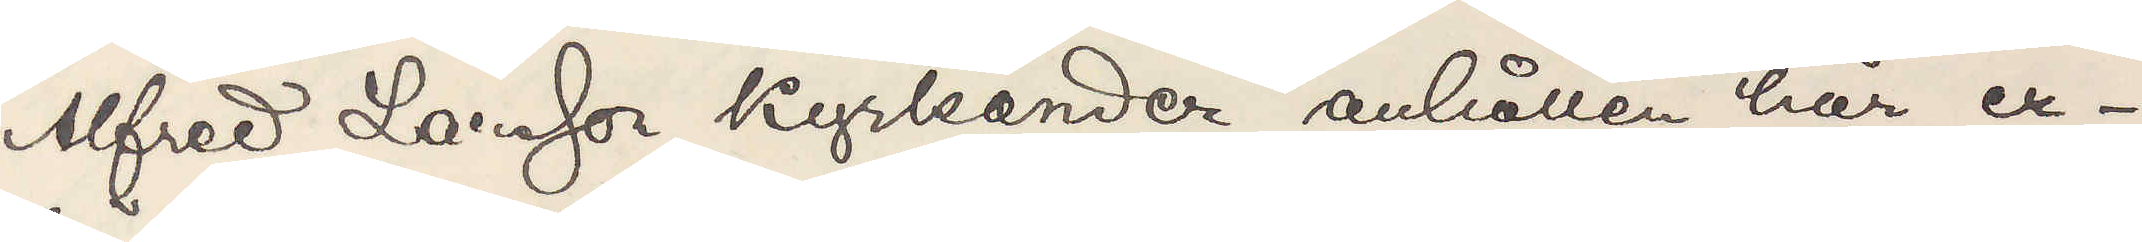Alfred Larsson Kyrkander anhållen här, er¬
